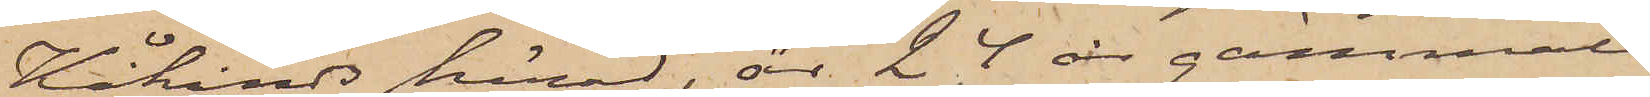Kåkinds härad, är 24 år gammal
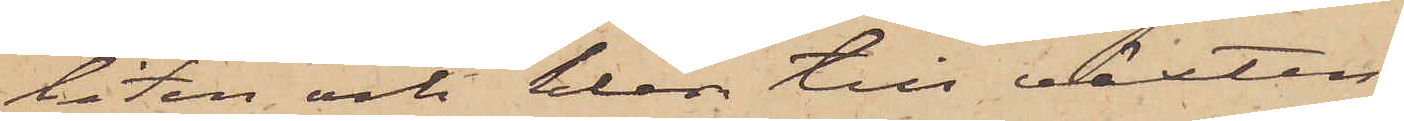liten och klen till växten,
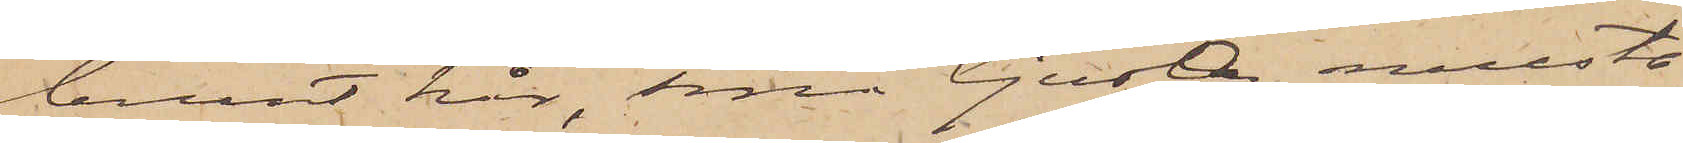brunt hår, små ljusa musta¬
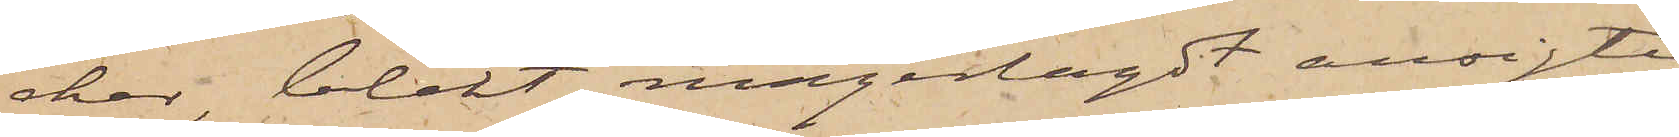cher, blekt magerlagdt ansigte
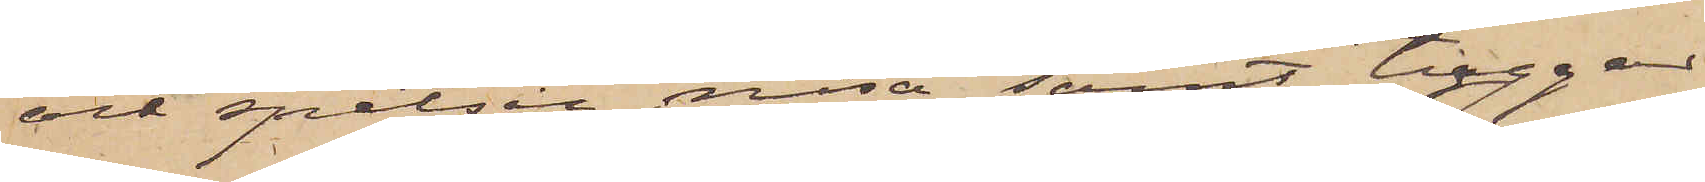och spetsig näsa samt tuggar
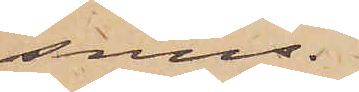snus.
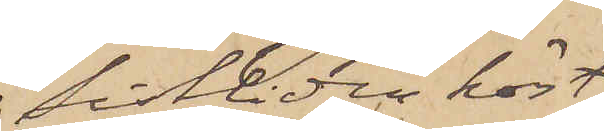Sistliden höst
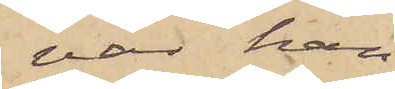var han
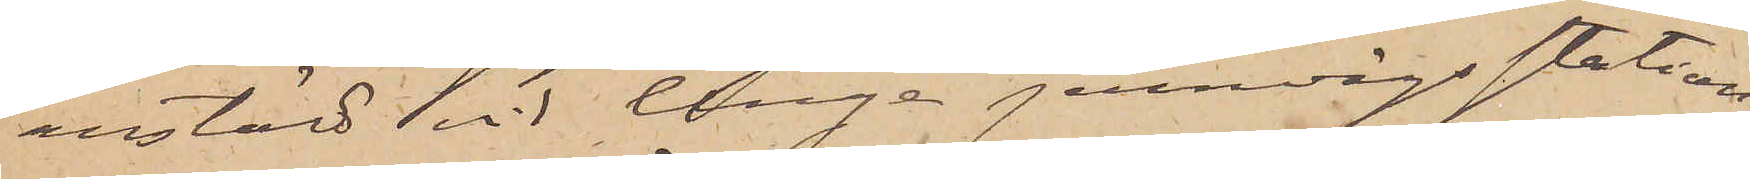anstäld vid Ange jernvägsstation
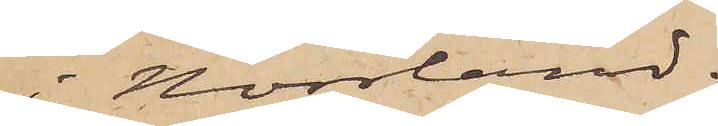i Norrland.
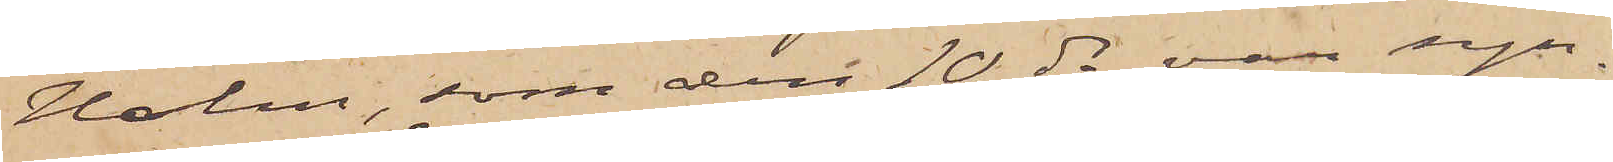Holm, som den 10 ds var syn¬
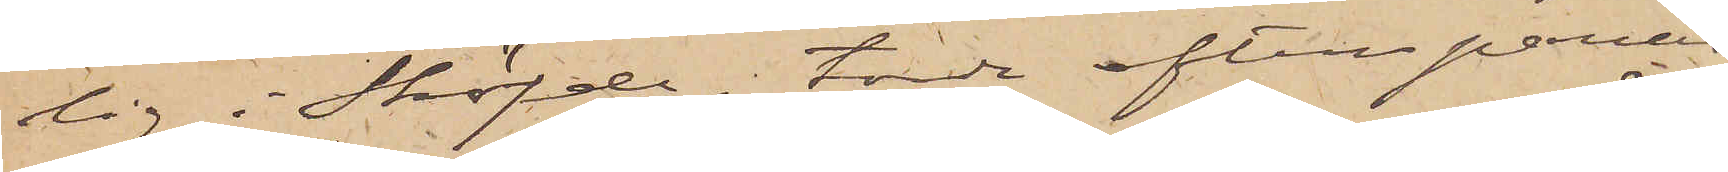lig i Sköfde, torde efterspanas
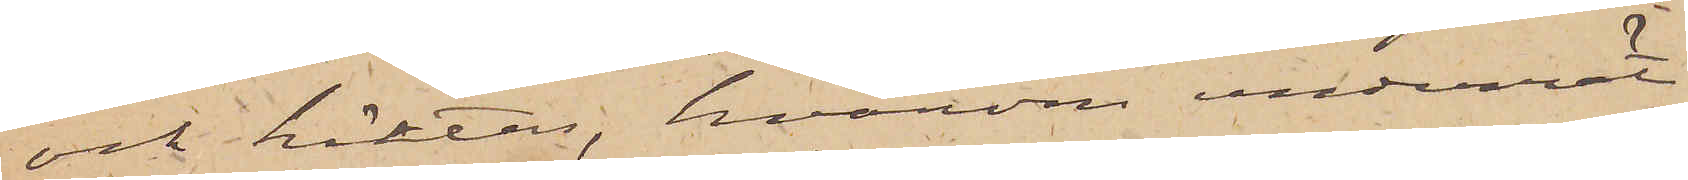och häktas, hvarom underrät¬
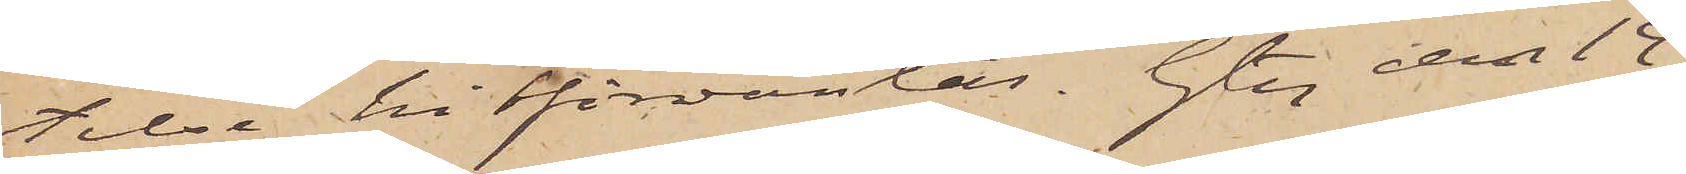telse hit förväntas. Gtbg den 14
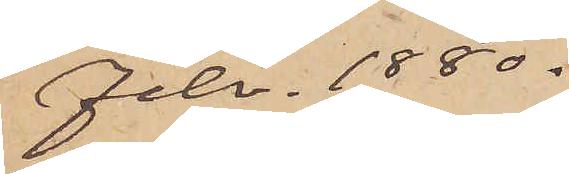Febr. 1880.
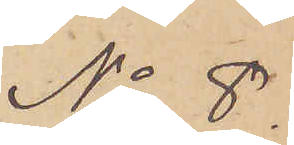No 8.
